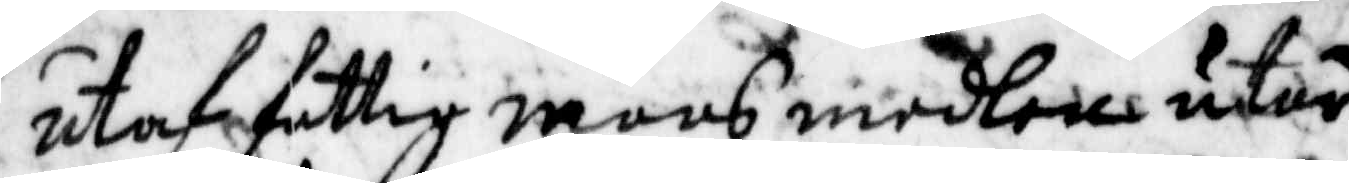utaf fattig mans medlen utur
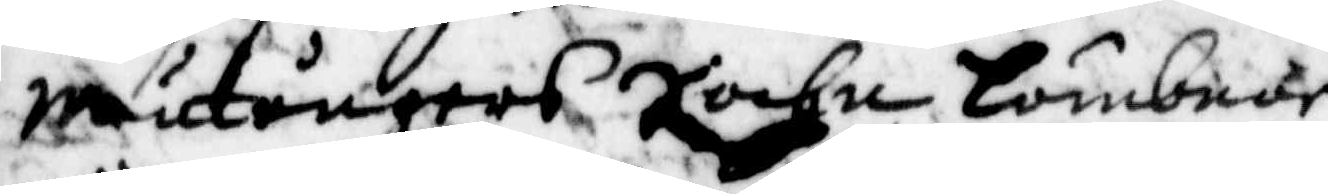Mutångers Sochn lämbnar
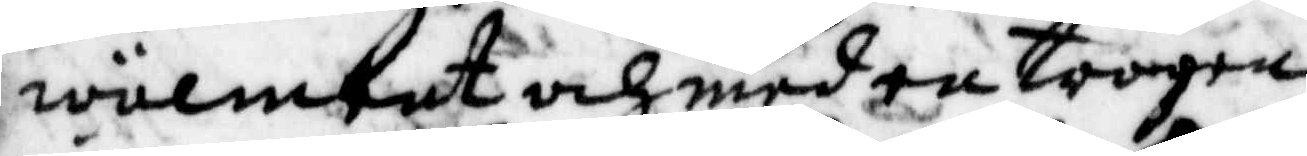wälment och med trogen
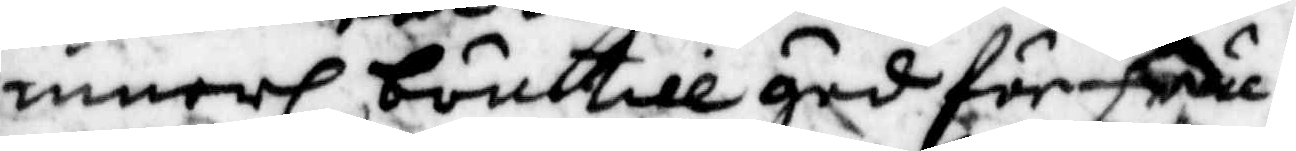innerl: bön till gud för fru
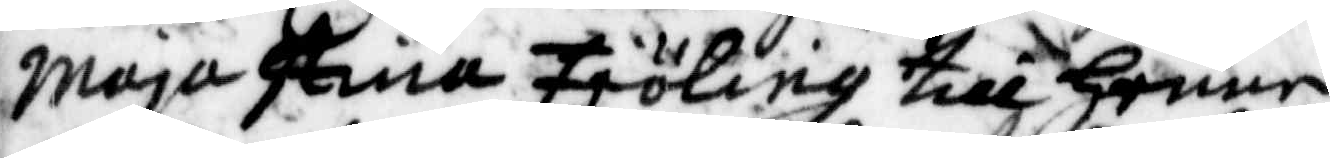Maja Stina Fröing till Henne
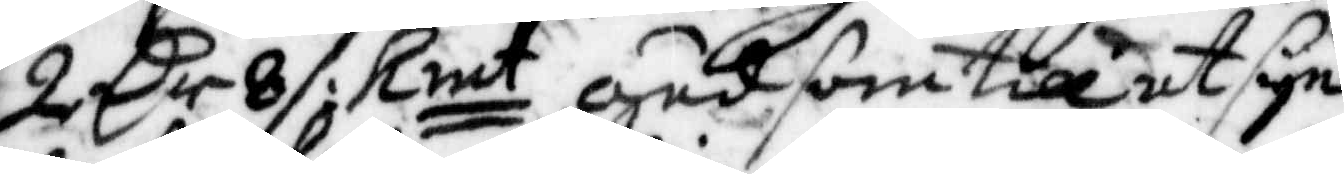2 Cr 8 /: kmt gud som till et syn¬
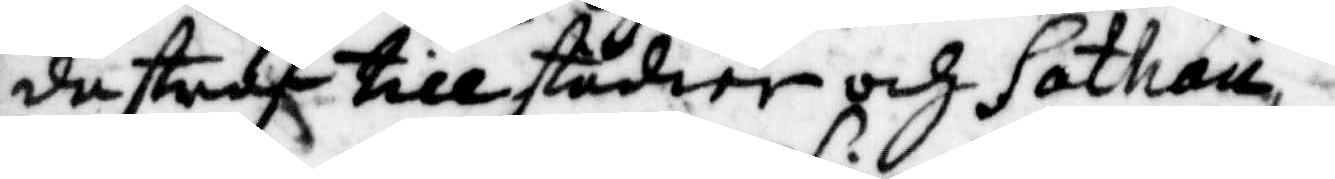de straf till studier och Sathan,
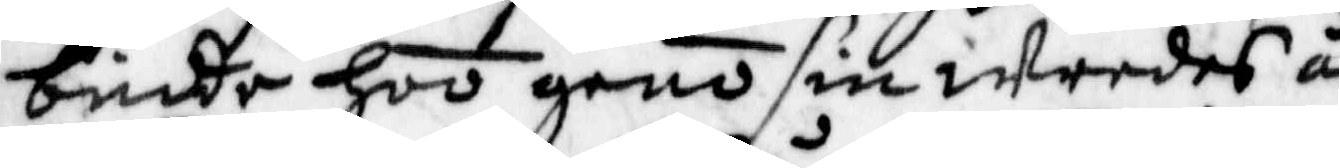binda hoo geno sin wredes å¬
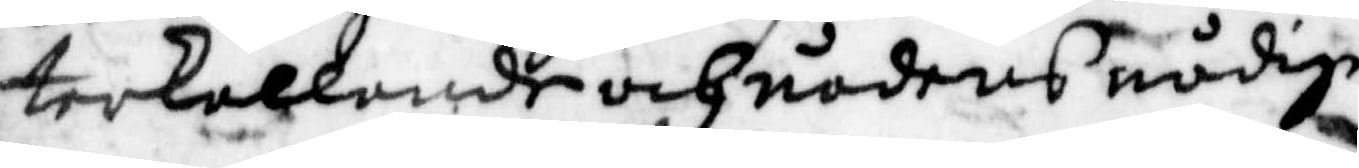terkallande och nådens nådige
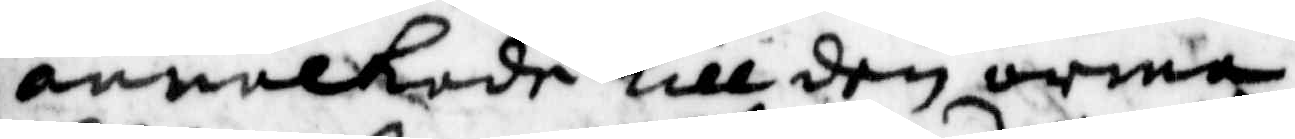annalkade till den orena
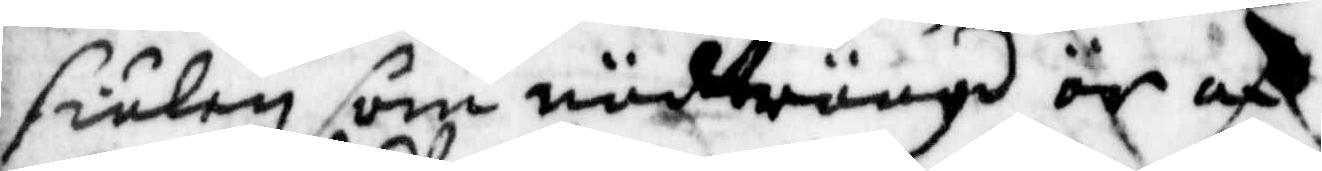siukan som nödträngd är af
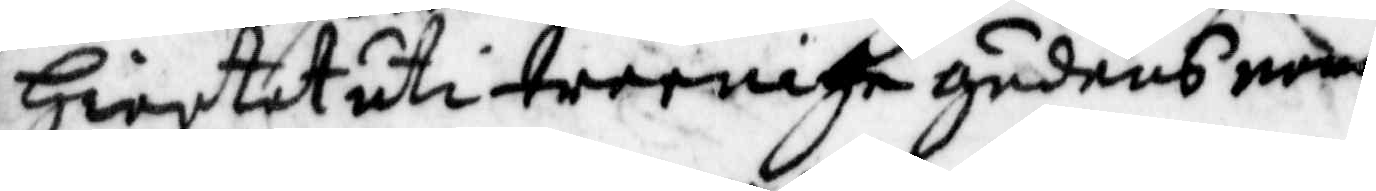Hiertat uti treenige gudens namn
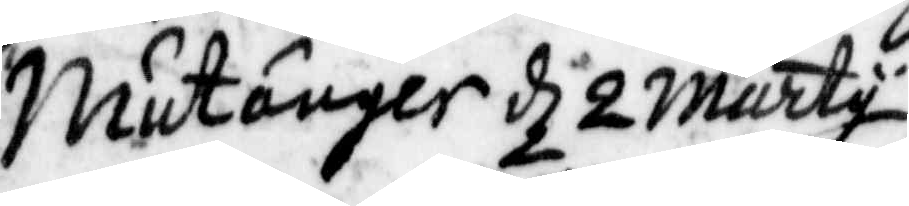Mutånger d 2 marty
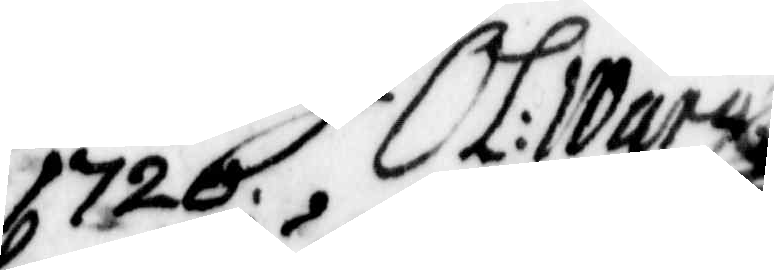1720. OL: Warg
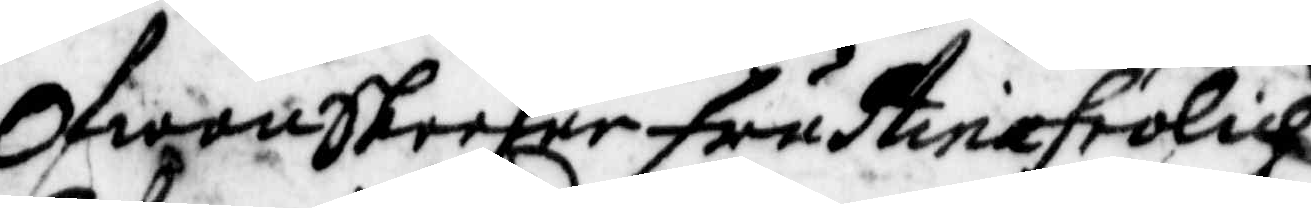OfwanSkreefne fru Stina frölich
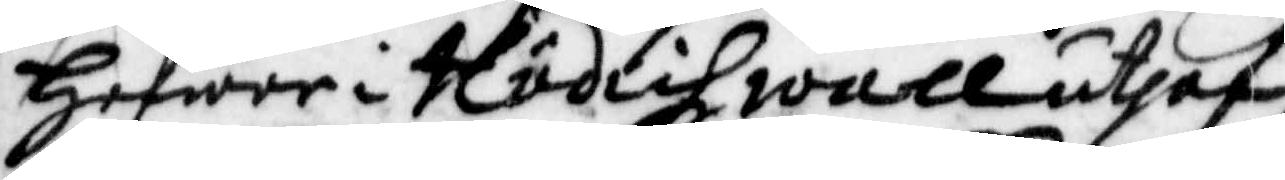Hafwer i Hudichzwall uthaf
